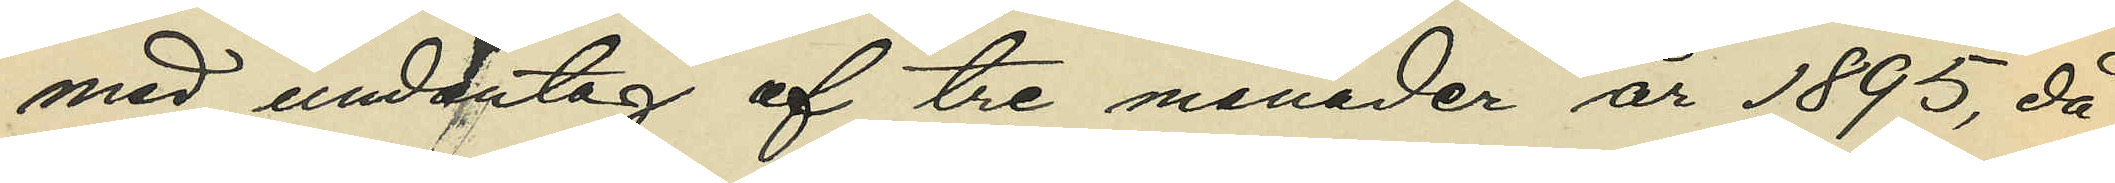med undantag af tre månader 1895, då
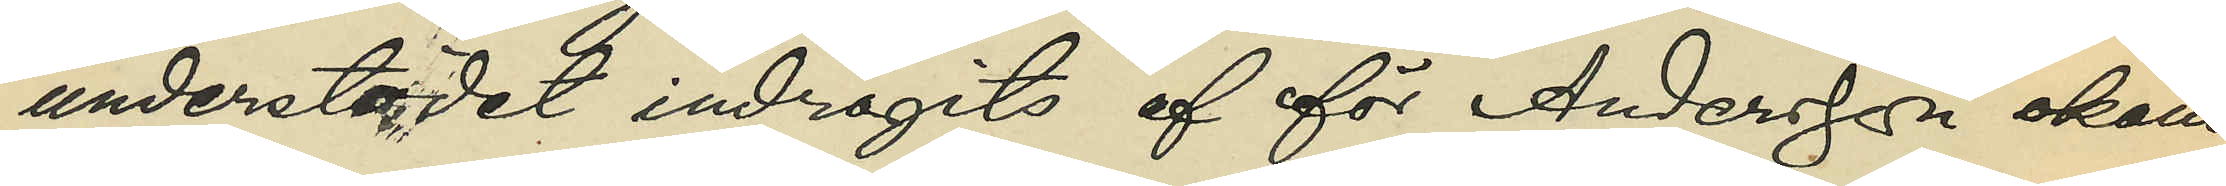understödet indragits af för Andersson okänd
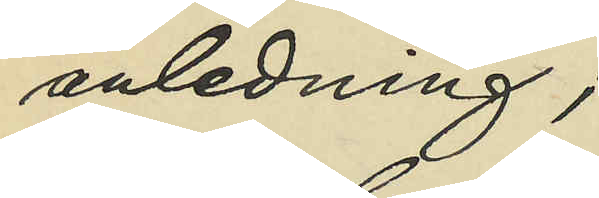anledning;
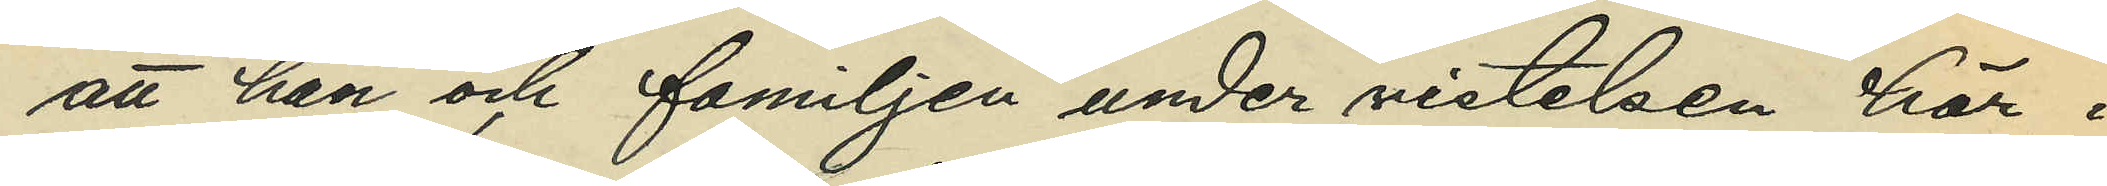att han och familjen under vistelsen här i
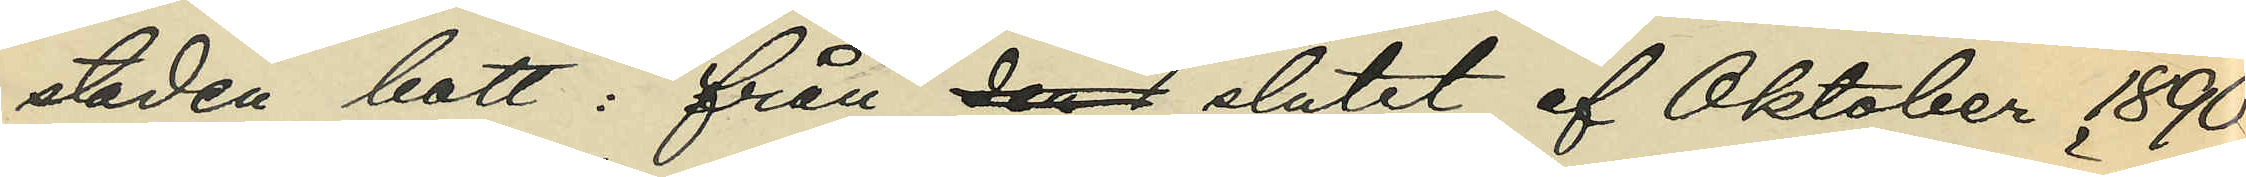staden bott: från den 1 slutet af Oktober 1890
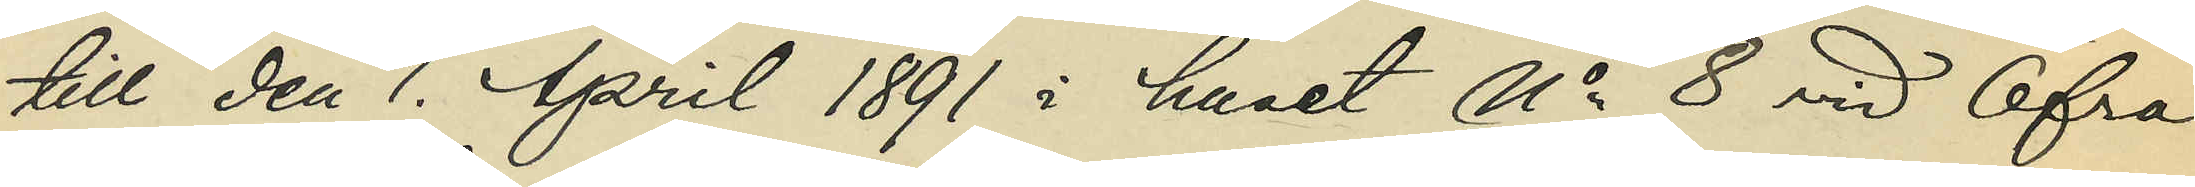till den 1 April 1891 i huset No 8 vid Öfra
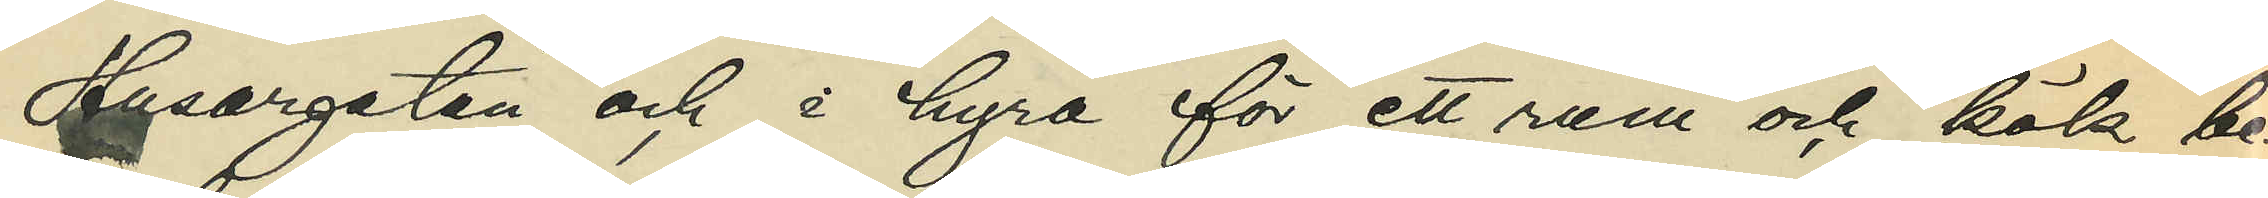Husargatan och i hyra för ett rum och kök be¬
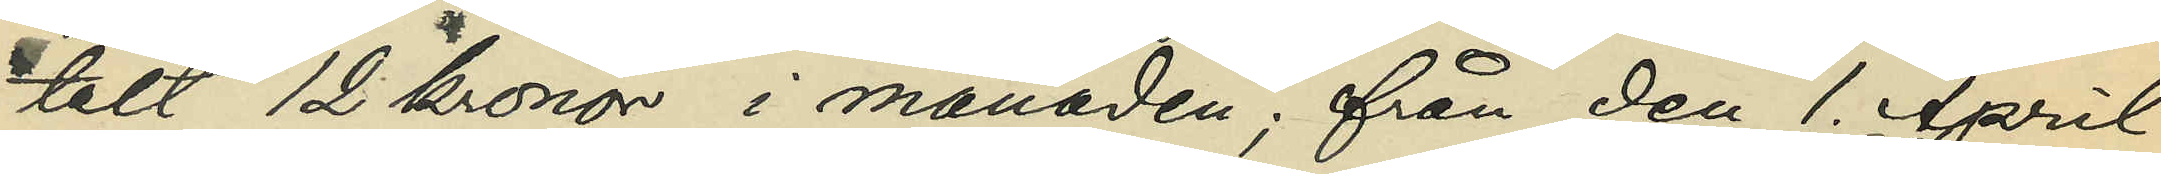talt  12 kronor i månaden; från den 1. April
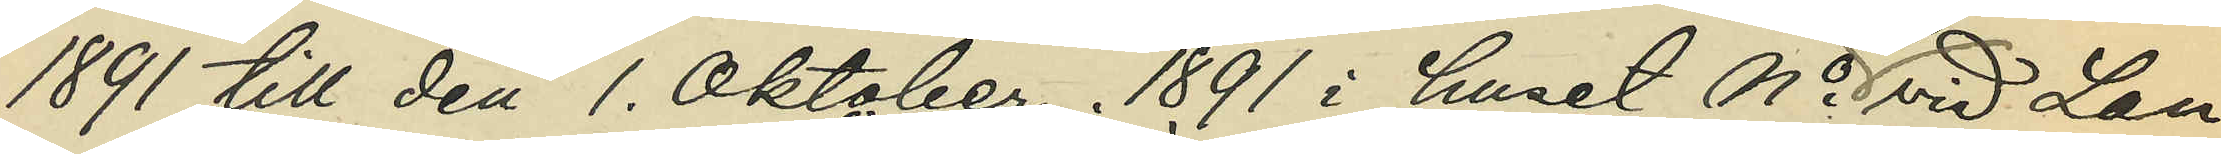1891 till den 1. Oktober 1891 i huset No 23 vid Lan¬
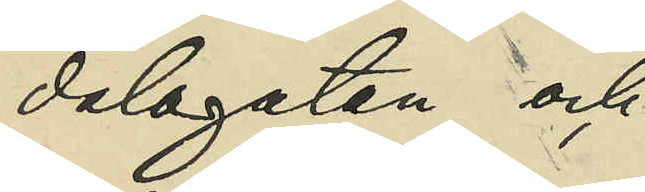dalagatan och
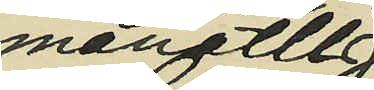månatlig
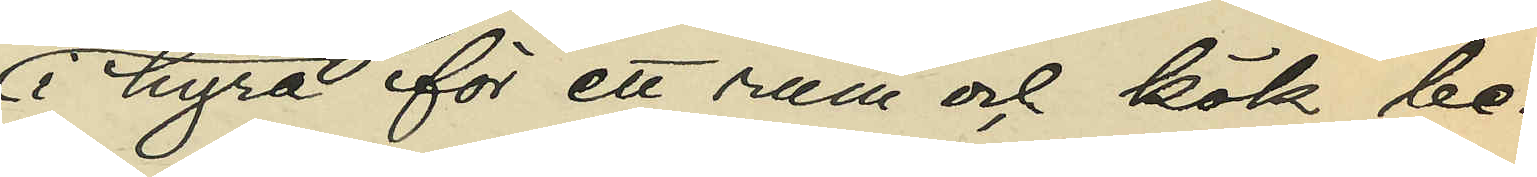i hyra för ett rum och kök be¬
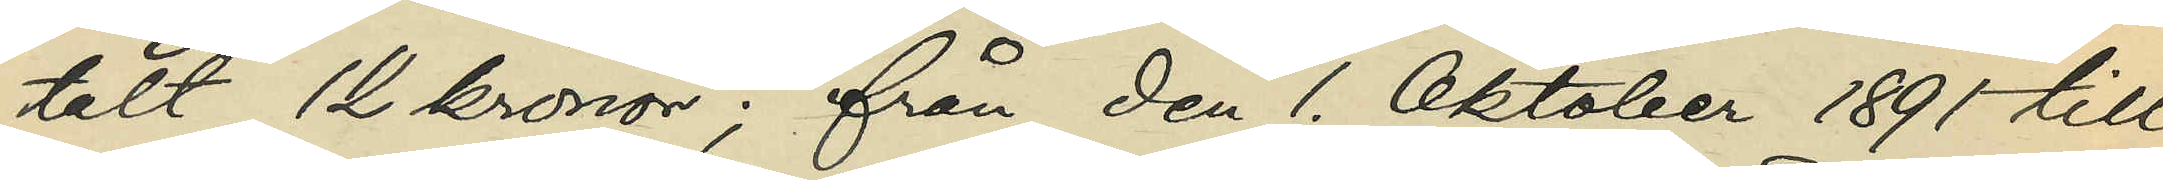talt 12 kronor; från den 1. Oktober 1891 till
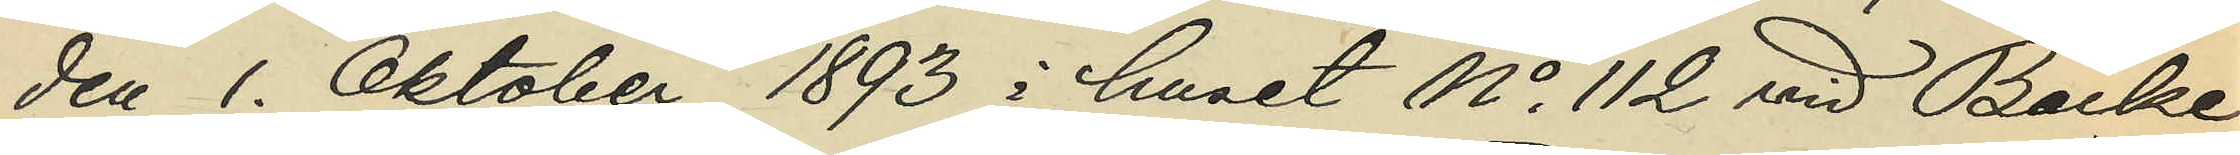den 1. Oktober 1893 i huset No 112 vid Bäcke¬
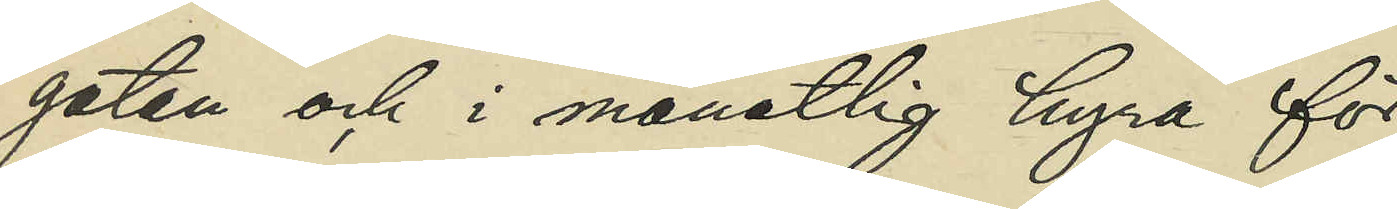gatan och i månatlig hyra för
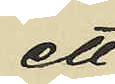ett
